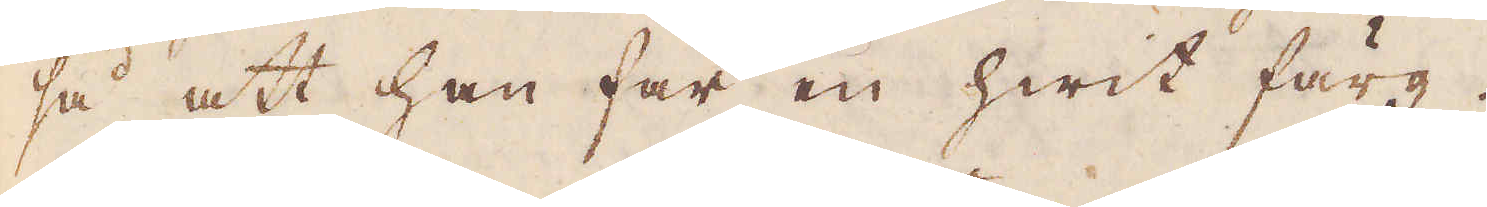så att han får en hwit färg.
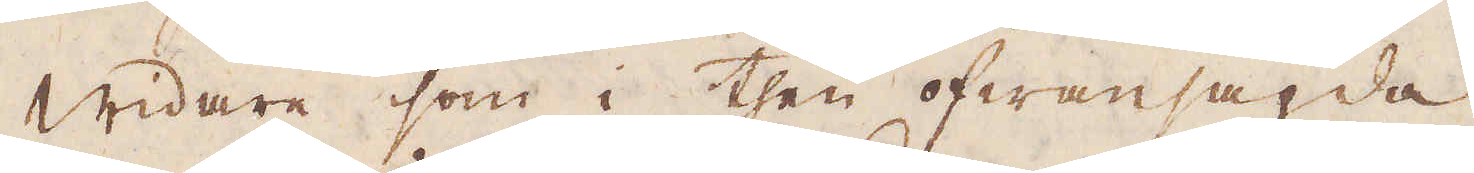Widare som i then ofwansagda
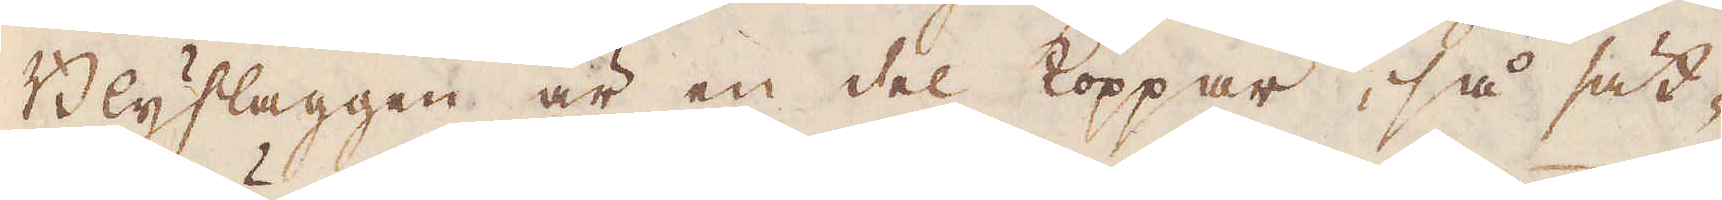Blysslaggen är en del Koppar, så sät-
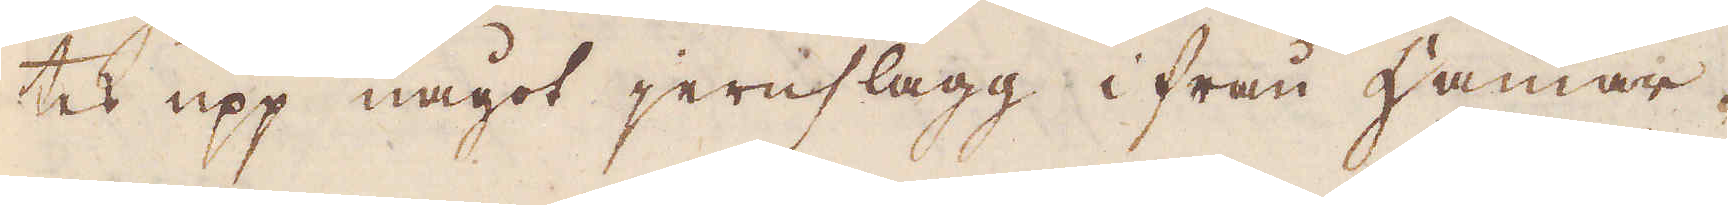tes upp något jernslagg ifrån Hammar-
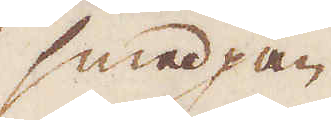smedjan
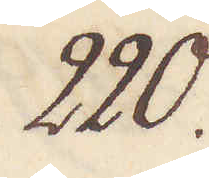220.
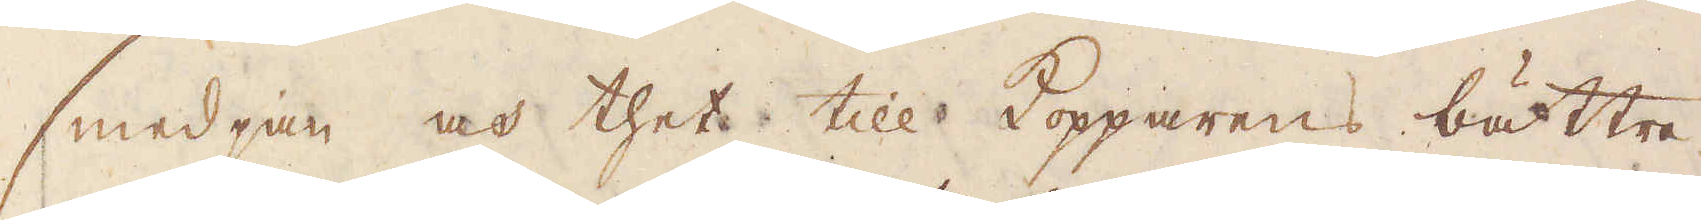smedjan och thet till Kopparens bättre
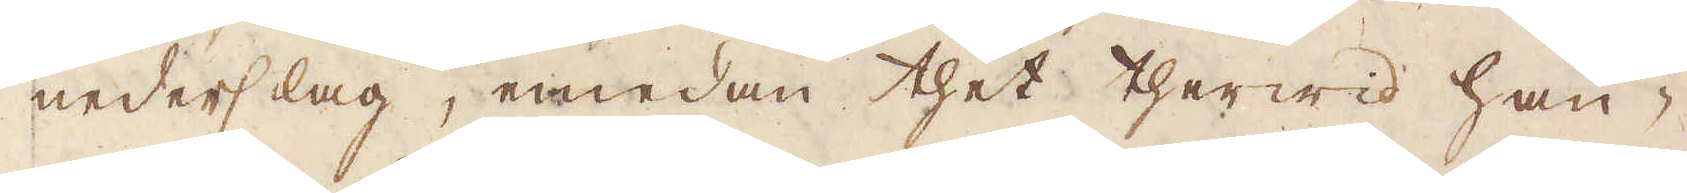nederslag, emedan thet therwid hän-
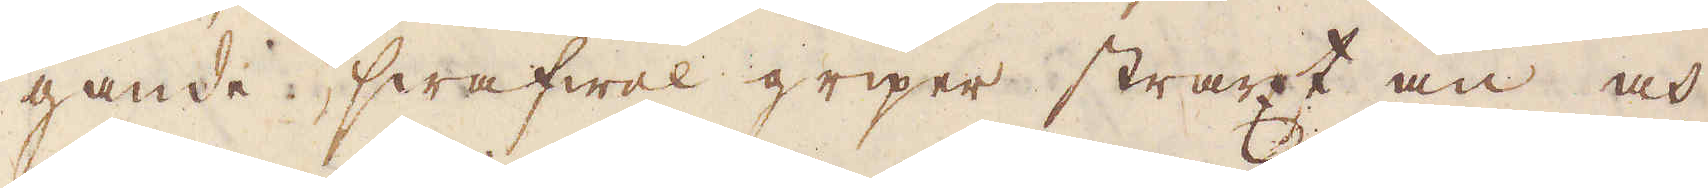gande swafwel griper straxt an och
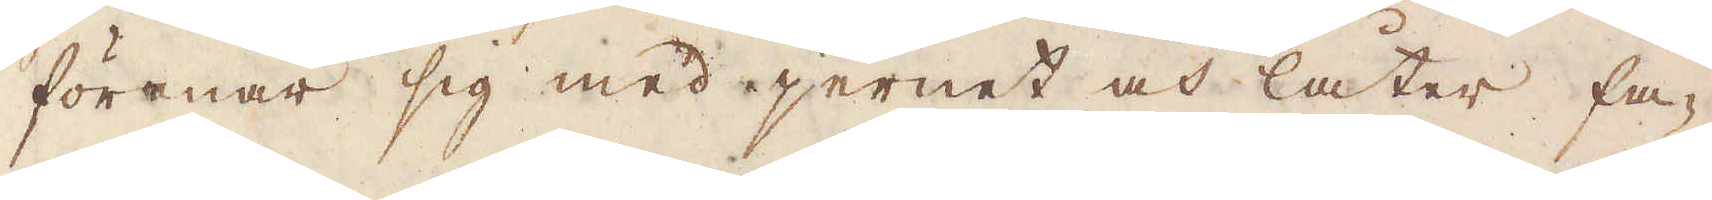förenar sig med jernet och låter fa-
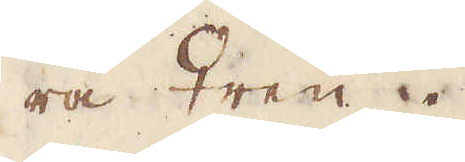ra ♀ren.
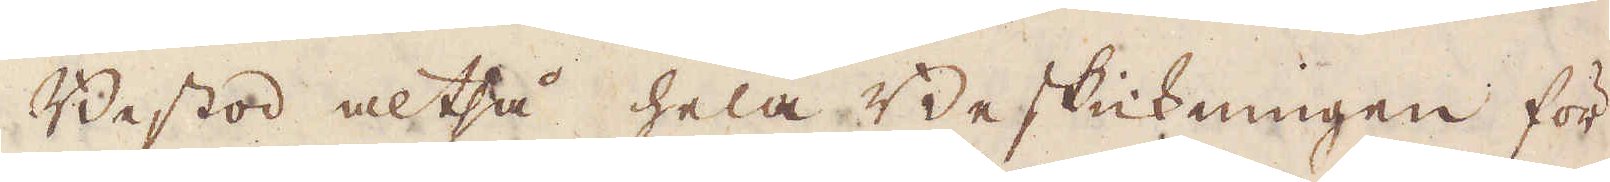Bestod altså hela Beskickningen för
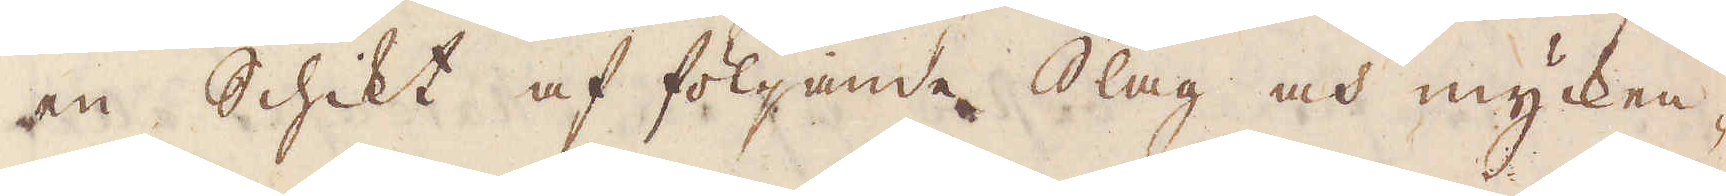en Schikt af följande Slag och mycken-
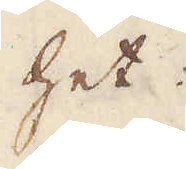het.
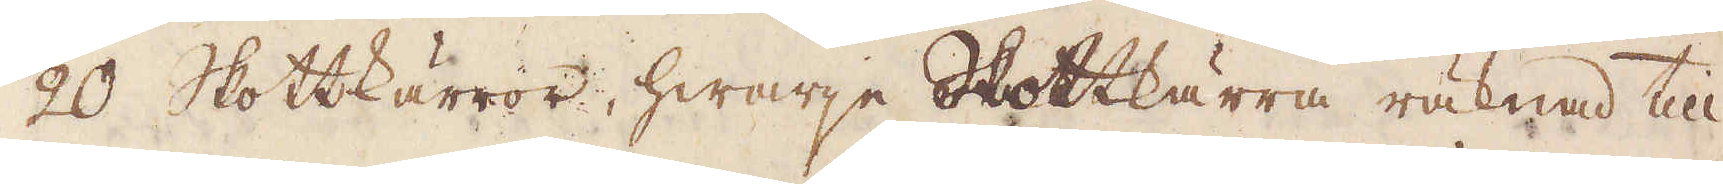20 Skottkärror, hwarje Skottkärra räknad till
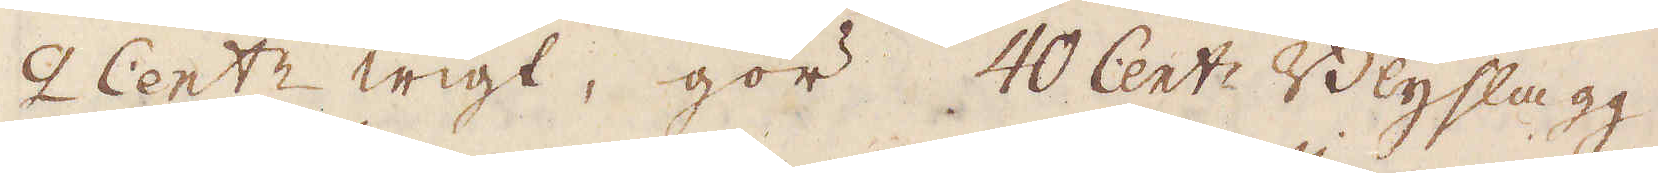2 Cent:r wigt, gör 40 Cent:r Blyslagg.
